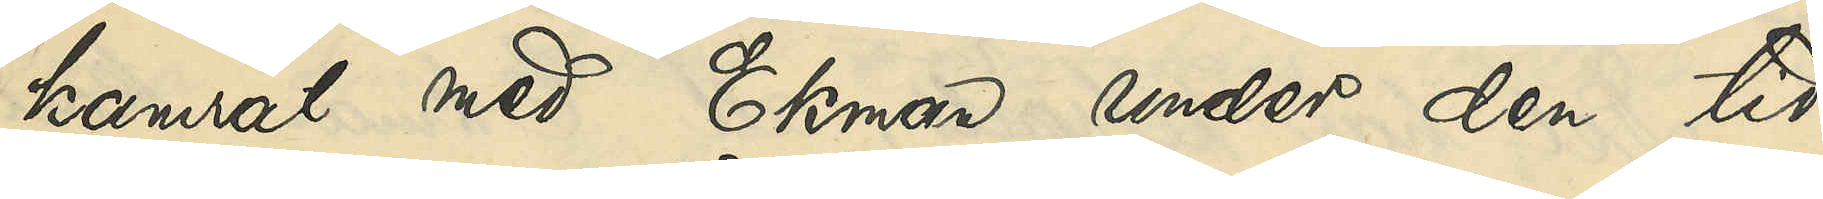kamrat med Ekman under den tid
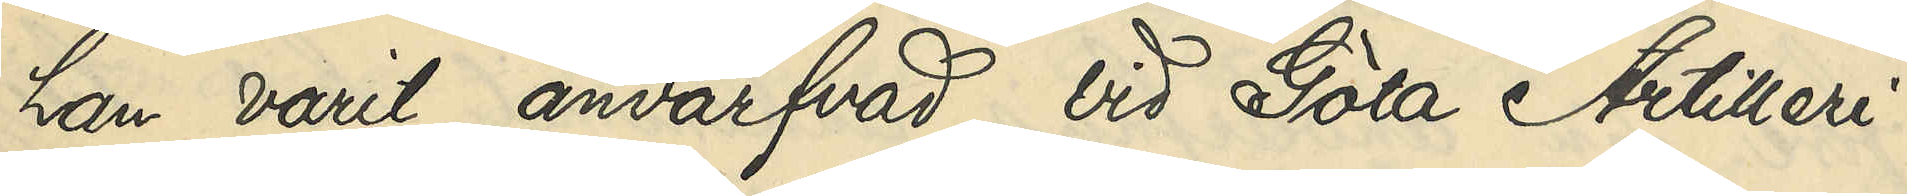han varit anvärfvad vid Göta Artilleri¬
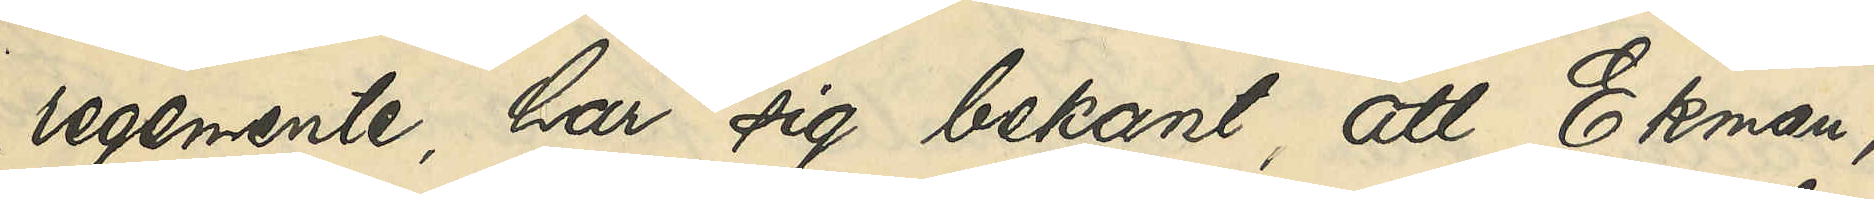regemente, har sig bekant, att Ekman,
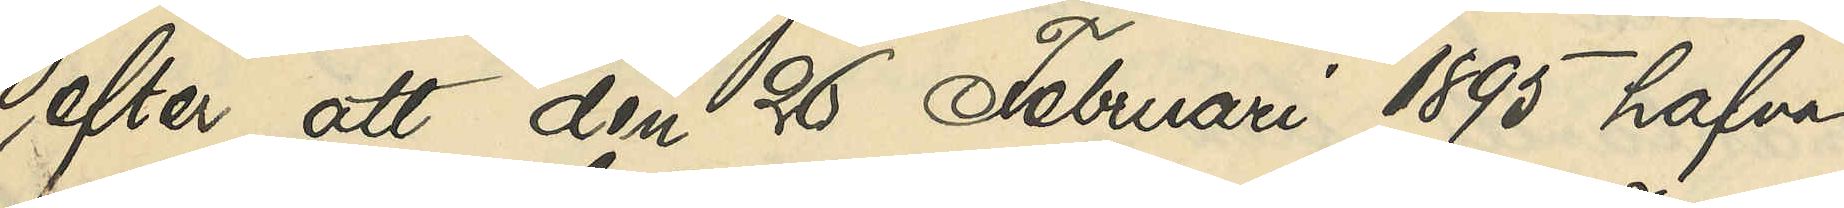efter att den 26 Februari 1895 hafva
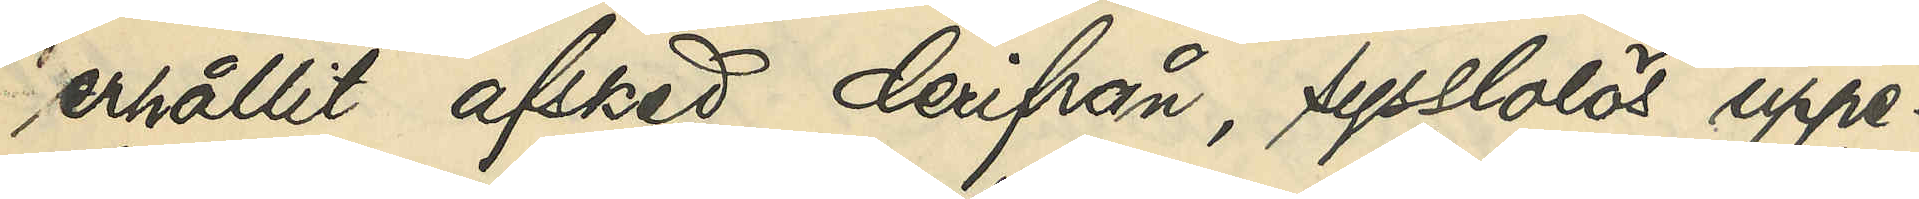erhållit afsked derifrån, sysslolös uppe¬
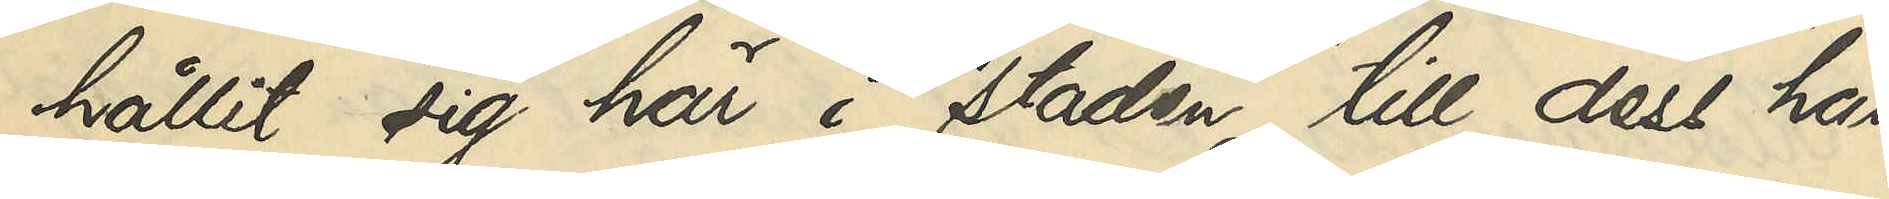hållit sig här i staden till dess han
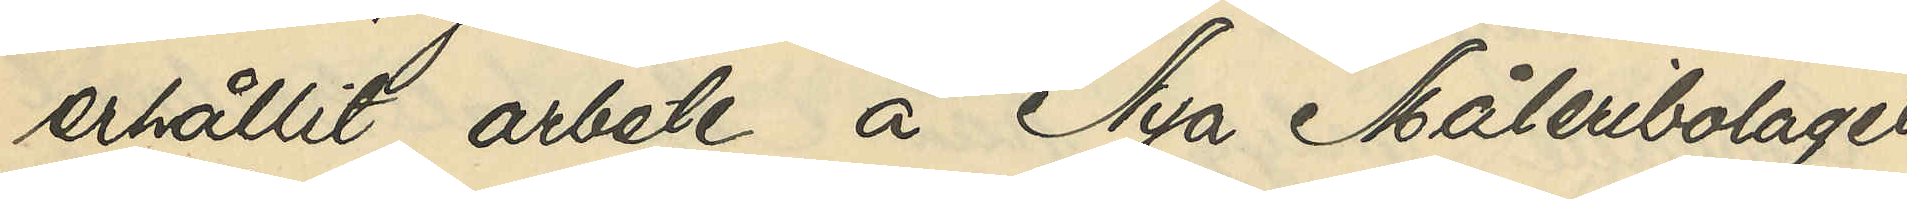erhållit arbete å Nya Måleribolaget
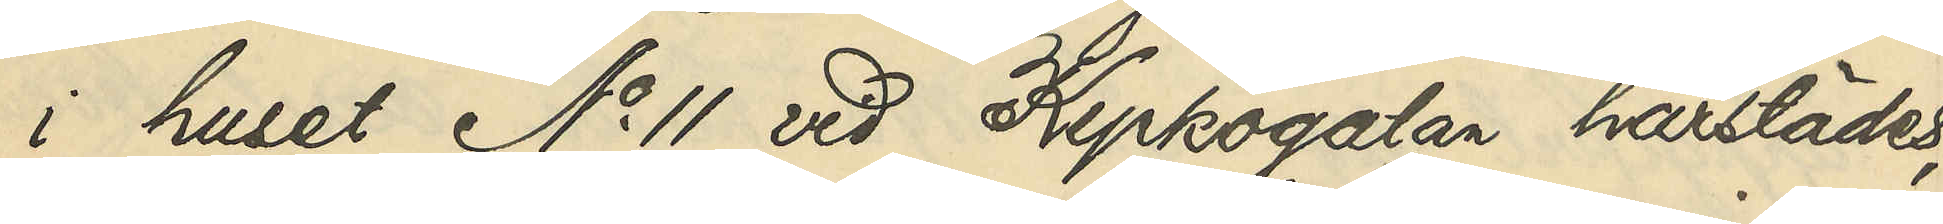i huset No 11 vid Kyrkogatan härstädes,
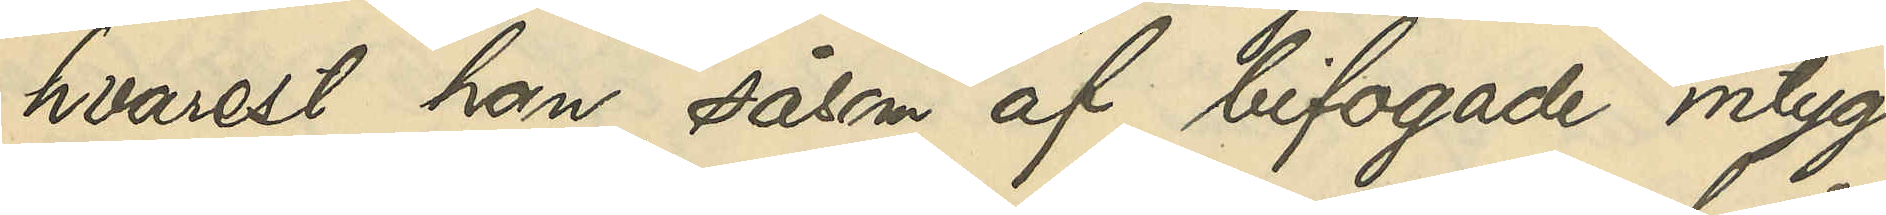hvarest han, såsom af bifogade intyg
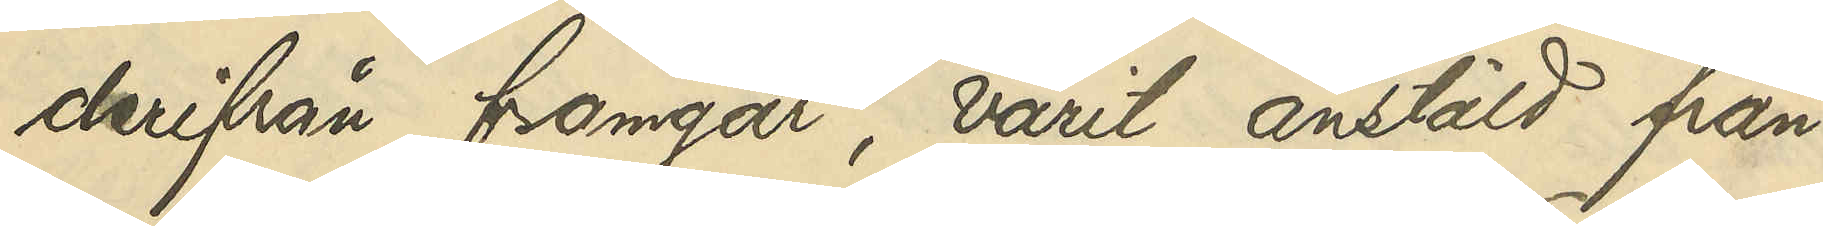derifrån framgår, varit anstäld från 
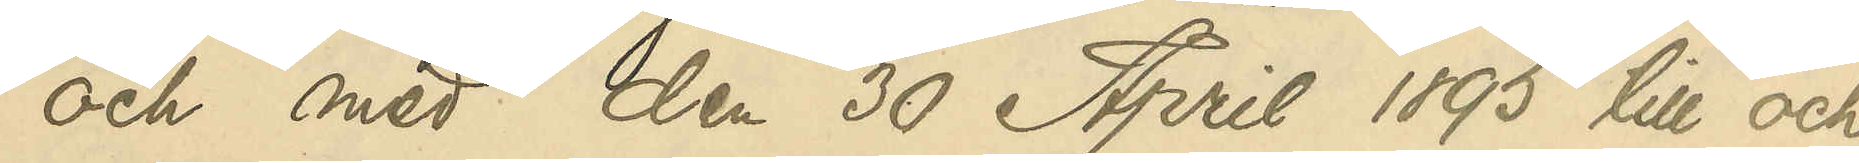och med den 30 April 1895 till och
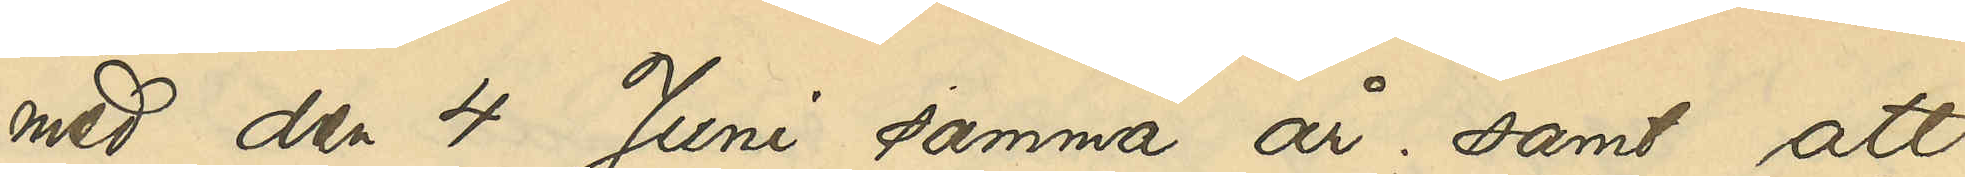med den 4 Juni samma år; samt att
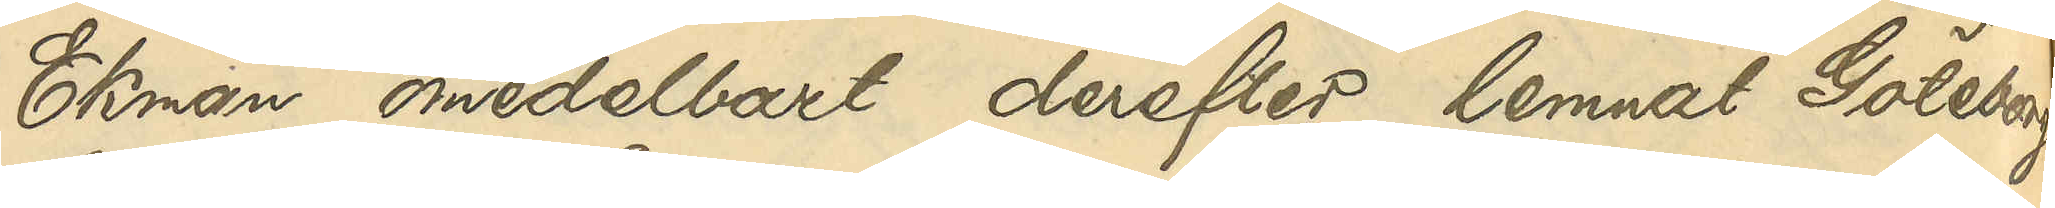Ekman omedelbart derefter lemnat Göteborg
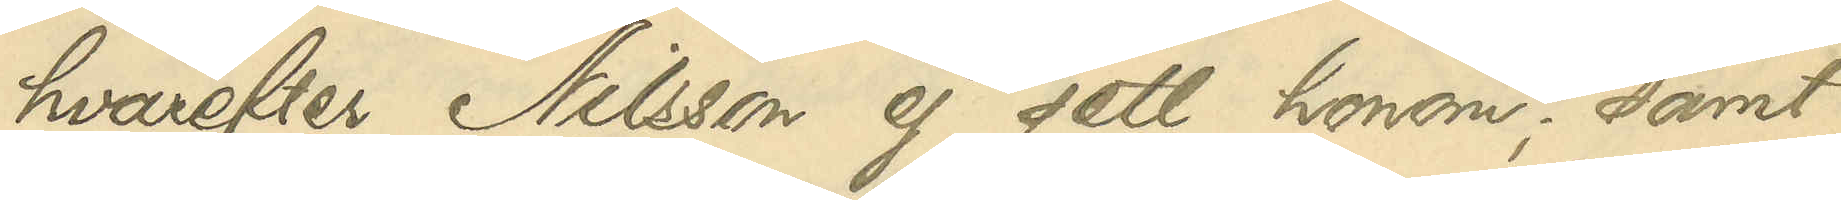hvarefter Nilsson ej sett honom; samt
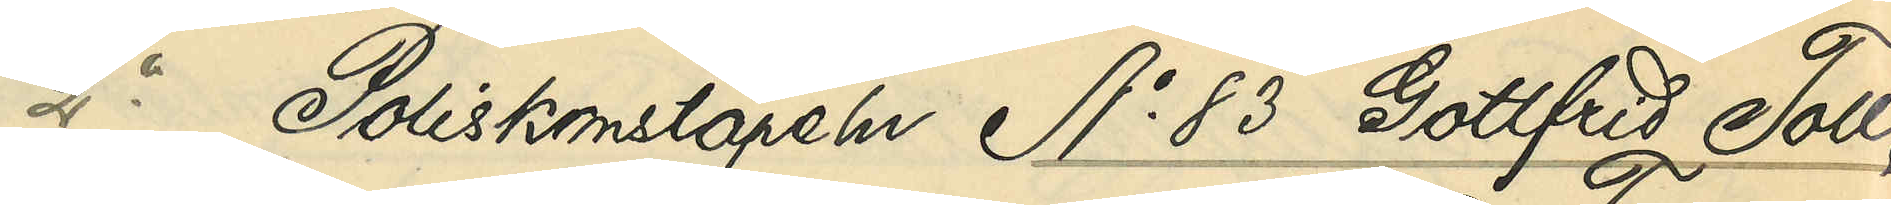2o Poliskonstapeln No 83 Gottfrid Toll:
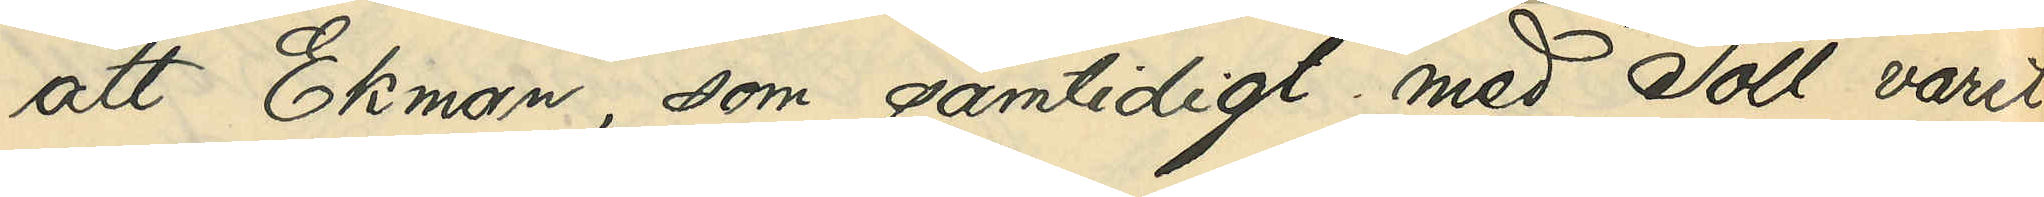att Ekman, som samtidigt med Toll varit
